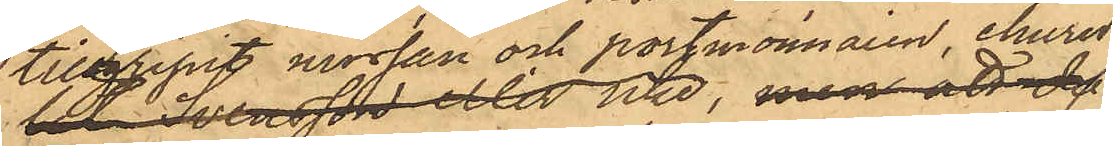tillgripit mössan och portmonnaien, ehuru
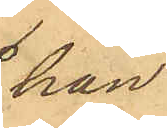han
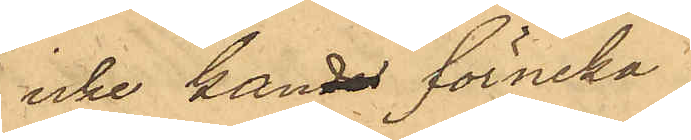icke kan de förneka
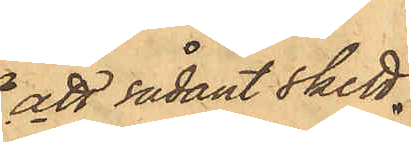att sådant skett.
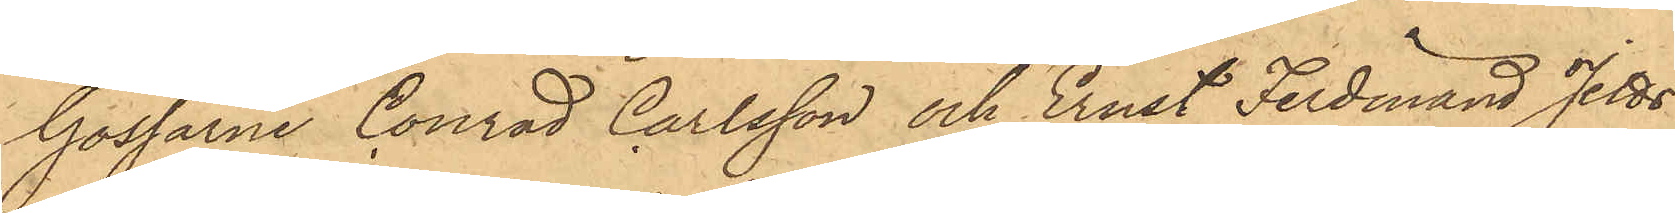Gossarne Conrad Carlsson och Ernst Ferdinand Jetts¬
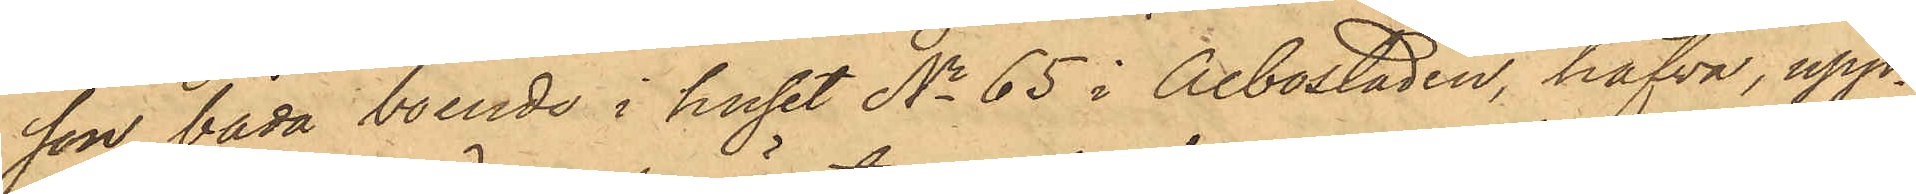son, båda boende i huset No 65 i Albostaden, hafva upp¬
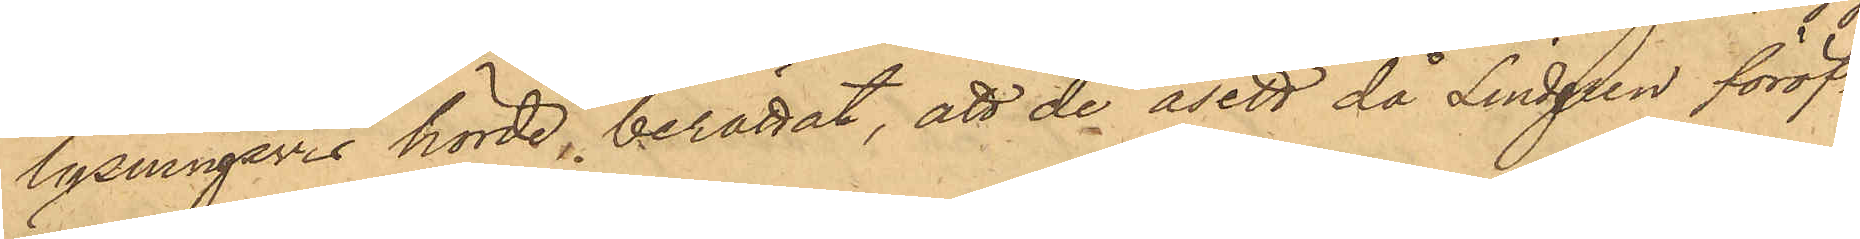lysningsvis hörde, berättat, att de åsett då Lindgren föröf¬
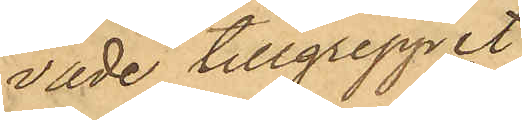vade tillgreppet.
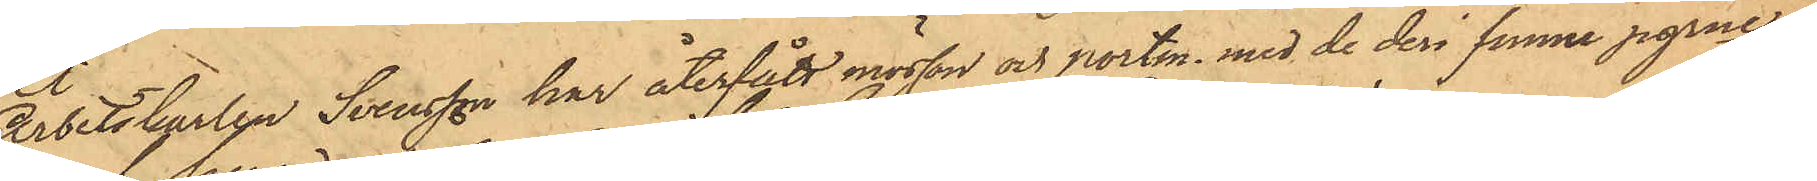Arbetskarlen Svensson har återfått mössan och portm. med de deri funne pgrne.
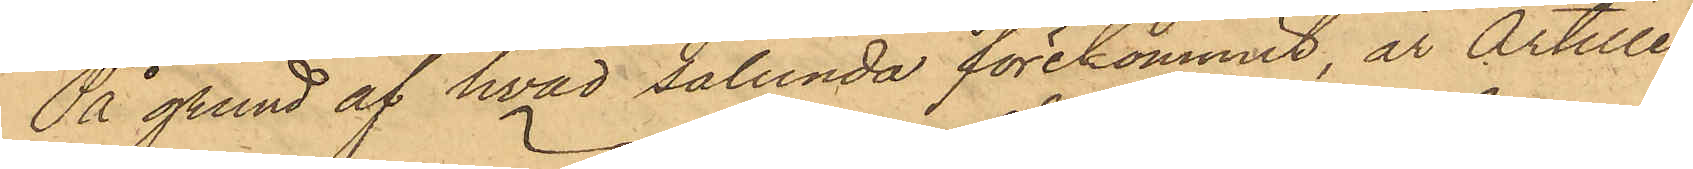På grund af hvad sålunda förekommit, är Artille¬
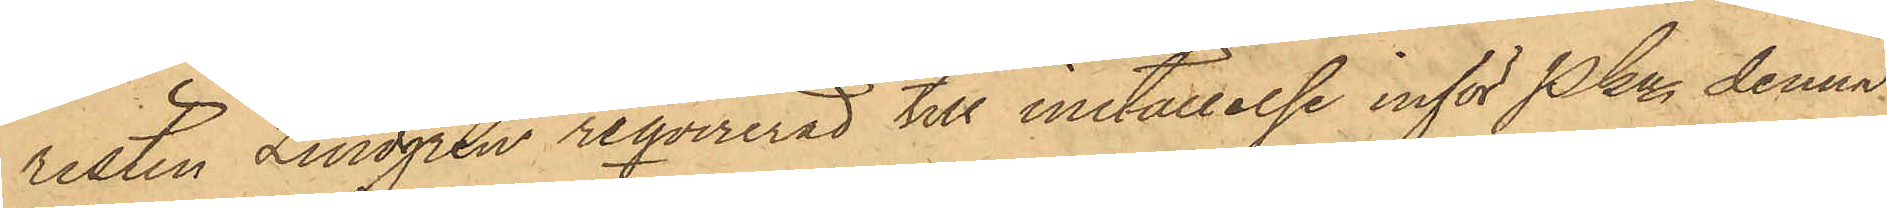risten Lindgren reqvirerad till inställelse inför Pkn denna
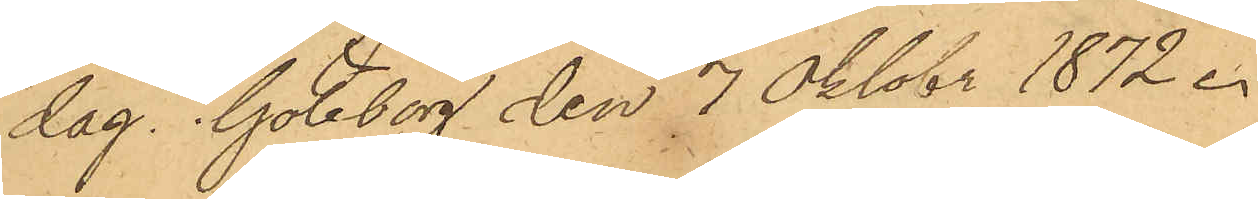dag. Göteborg den 7 Oktobr 1872.
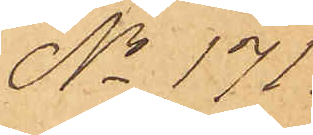No 171.
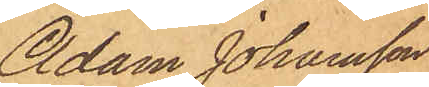Adam Johansson
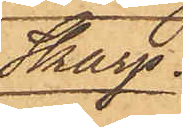Skarp.
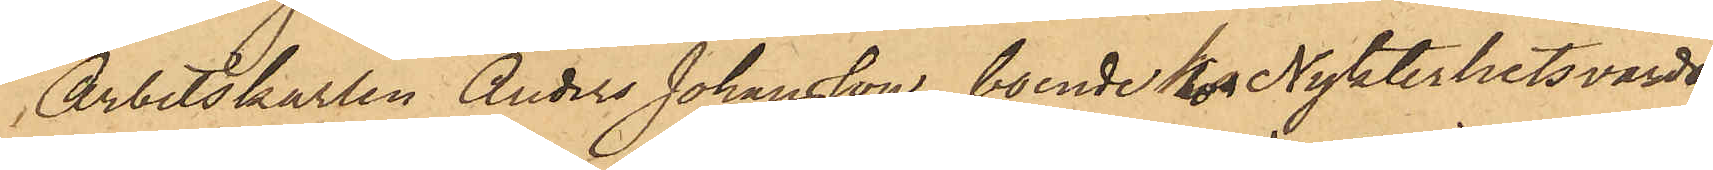Arbetskarlen Anders Johansson, boende hos Nykterhetsvärds¬
